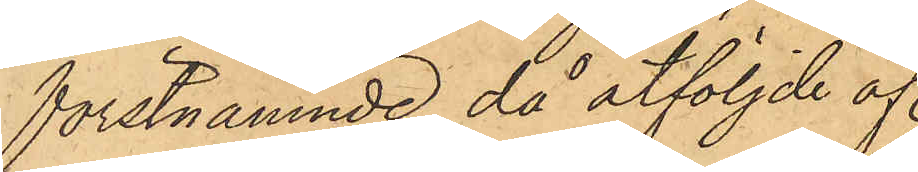förstnämnde, då åtföljde af
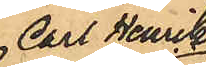Carl Henrik
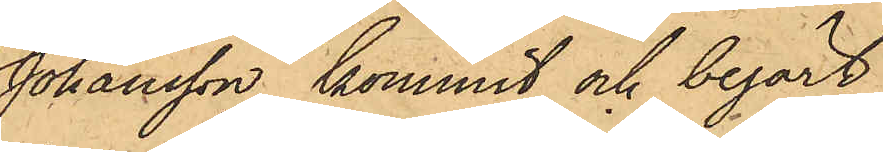Johansson, kommit och begärt
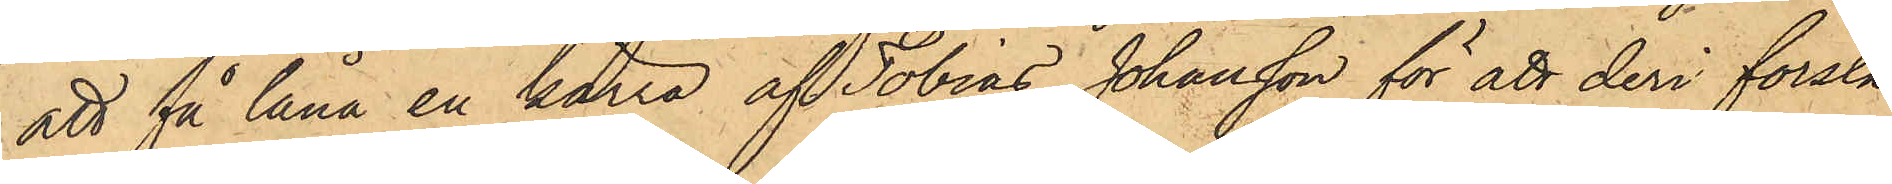att få låna en kärra af Tobias Johansson för att deri forsla
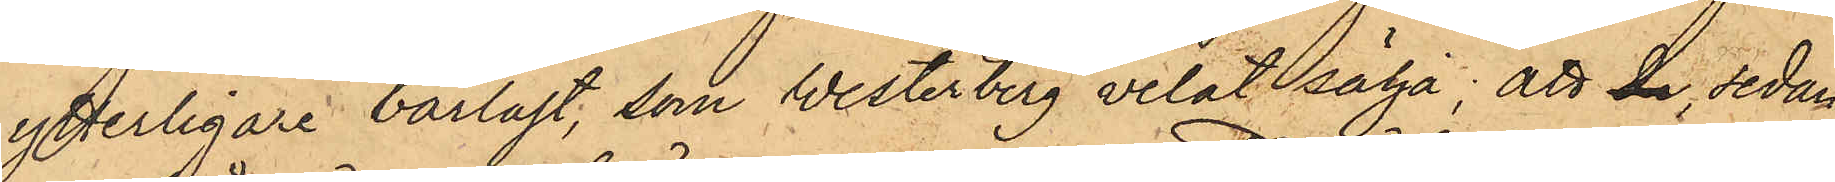ytterligare barlast, som Westerberg velat sälja; att de, sedan
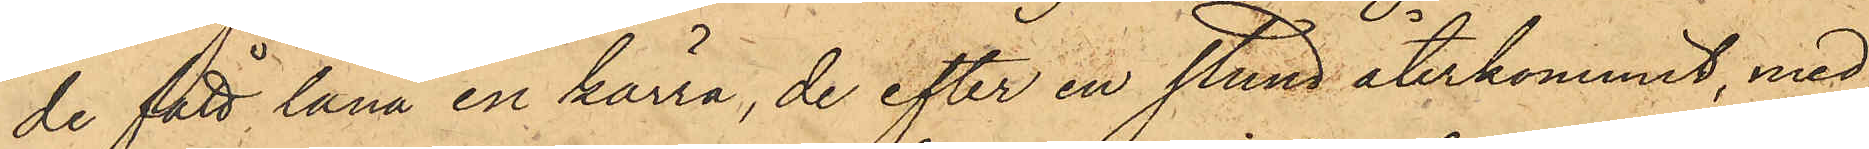de fått låna en kärra, de efter en stund återkommit, med¬
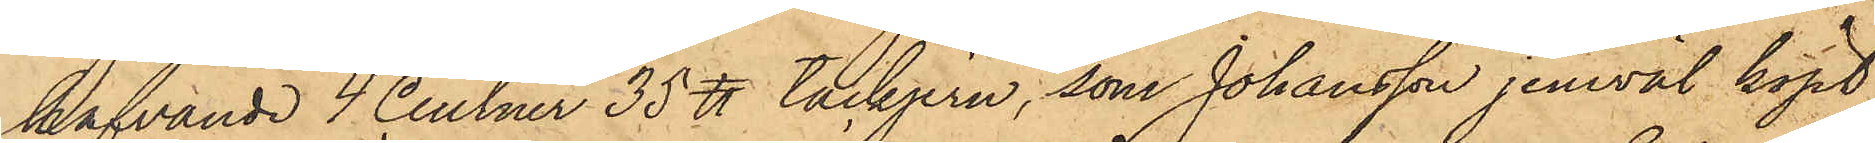hafvande 4 Centner 35 ℔ tackjern, som Johansson jemväl köpt;
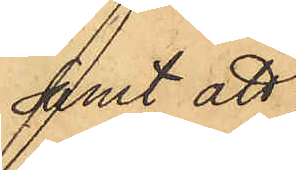samt att
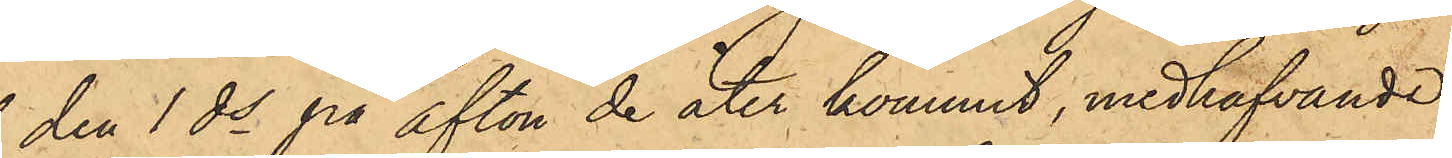den 1 ds på afton de åter kommit, medhafvande
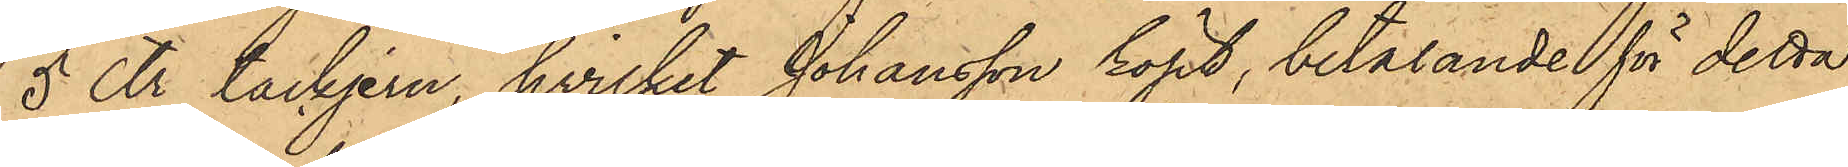5 Ctr tackjern, hvilket Johansson köpt, betalande för detta
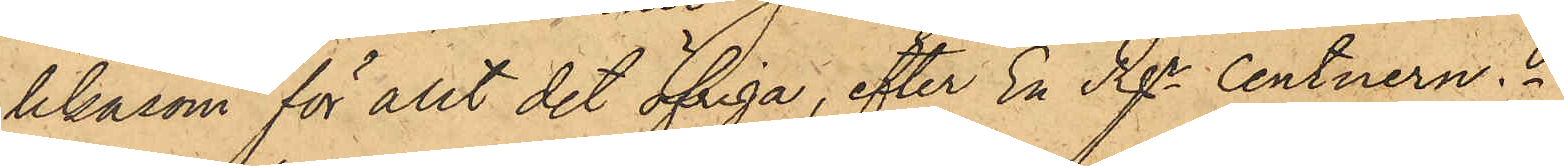likasom för allt det öfriga, efter En Rgr Centnern.
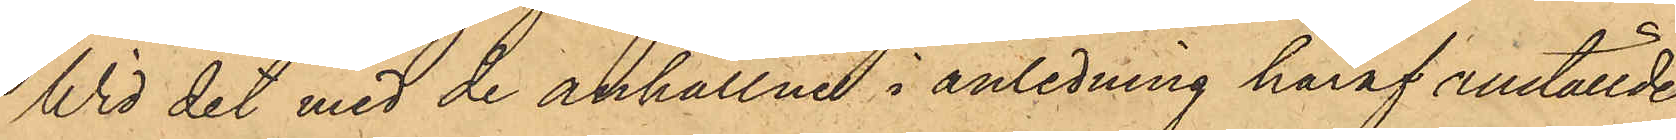Wid det med de anhållne i anledning häraf anställde
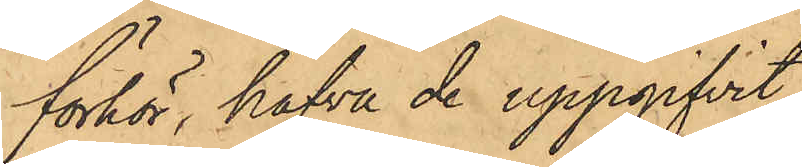förhör, hafva de uppgifvit,
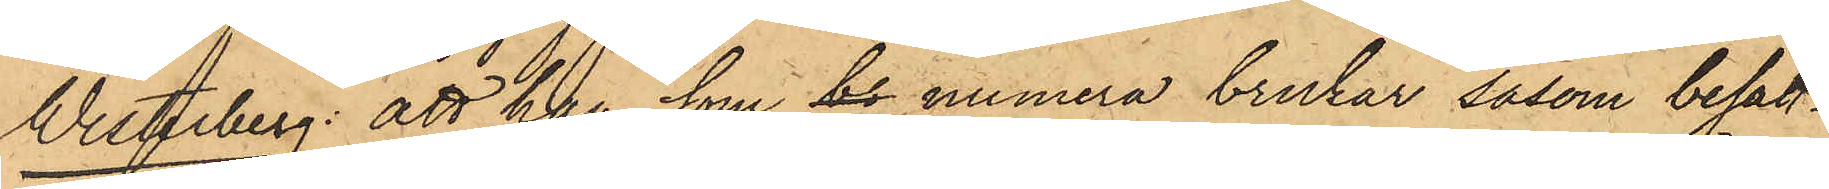Westerberg: att han, som br numera brukar, såsom besätt¬
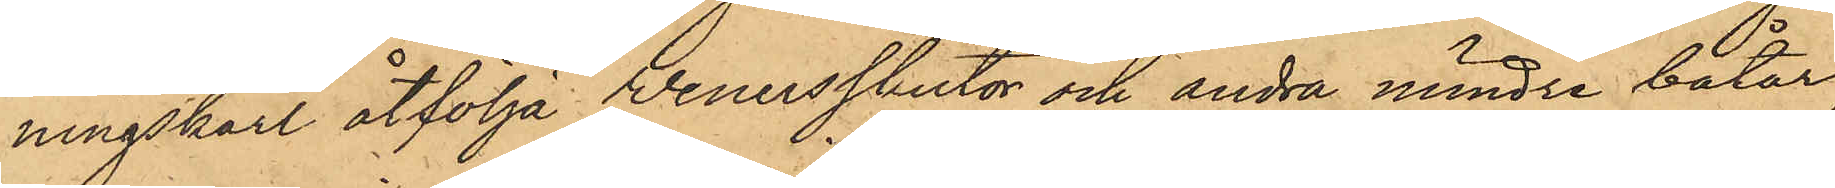ningskarl åtfölja Wenersskutor och andra mindre båtar,
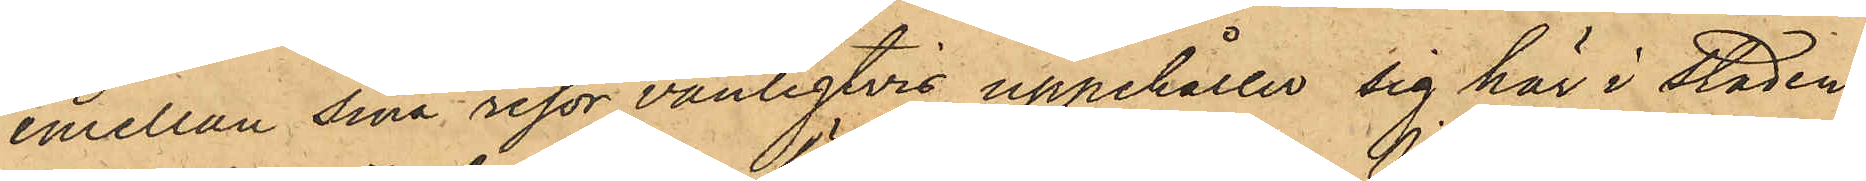emellan sina resor vanligtvis uppehållit sig här i Staden.
